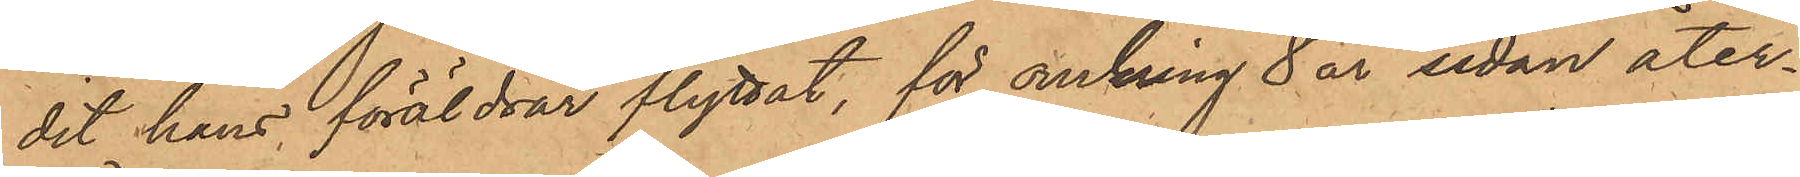dit hans föräldrar flyttat, för omkring 8 år sedan åter¬
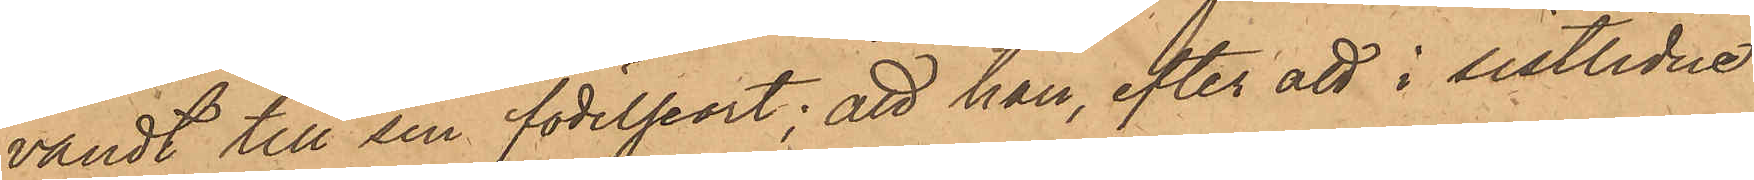vändt till sin födelseort; att han, efter att i sistlidne
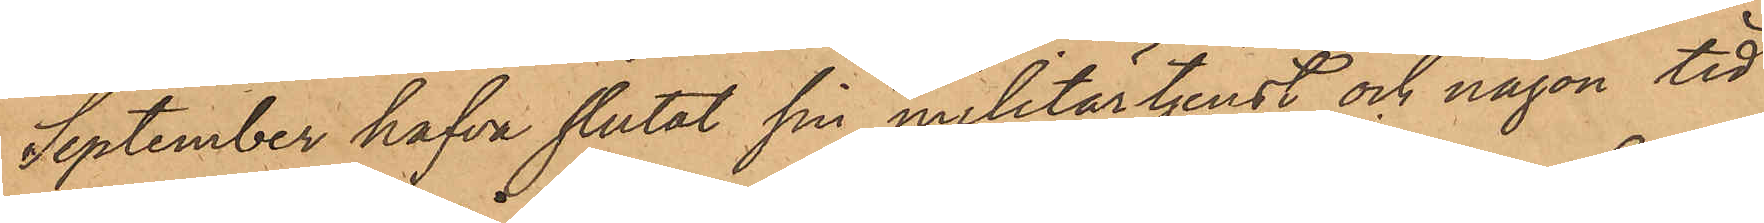September hafva slutat sin militärtjenst och någon tid
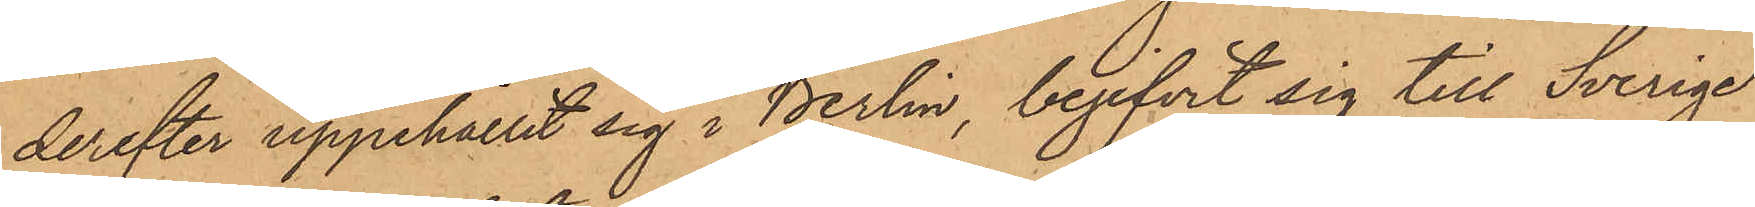derefter uppehållit sig i Berlin, begifvit sig till Sverige
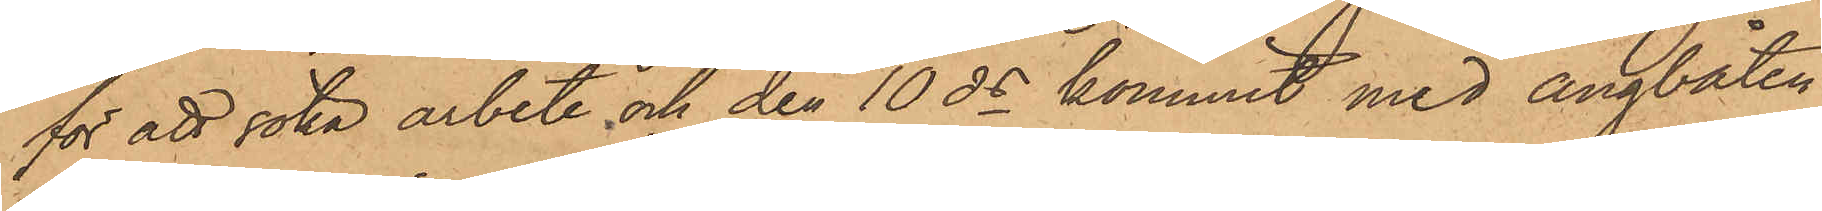för att söka arbete och den 10 ds kommit med ångbåten
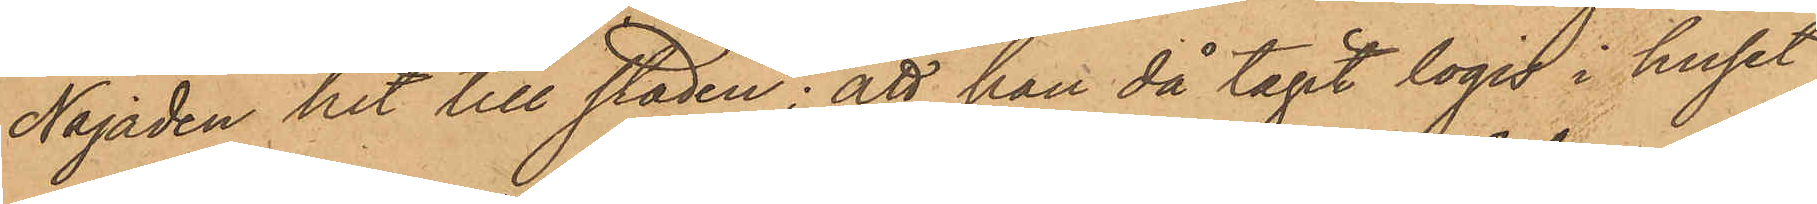Najaden hit till staden; att han då tagit logis i huset
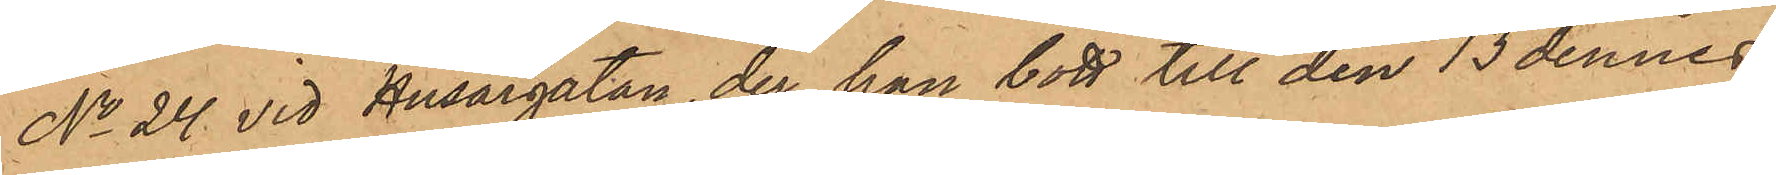No 24 vid Husargatan, der han bott till den 13 dennes,
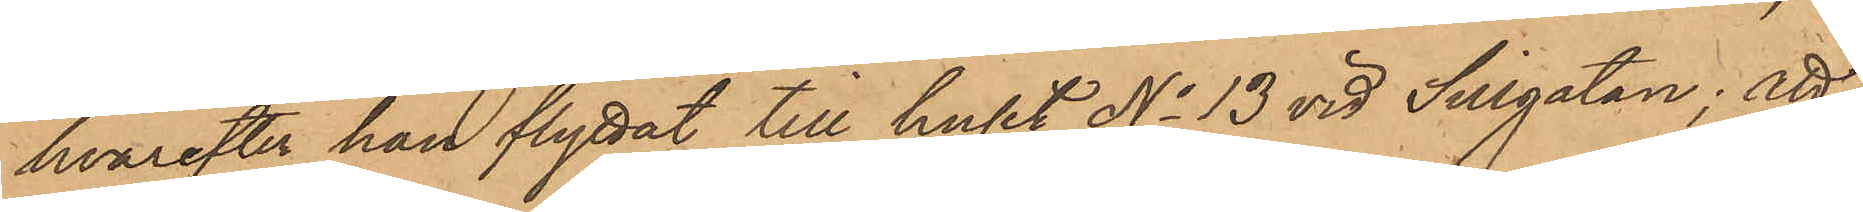hvarefter han flyttat till huset No 13 vid Sillgatan; att
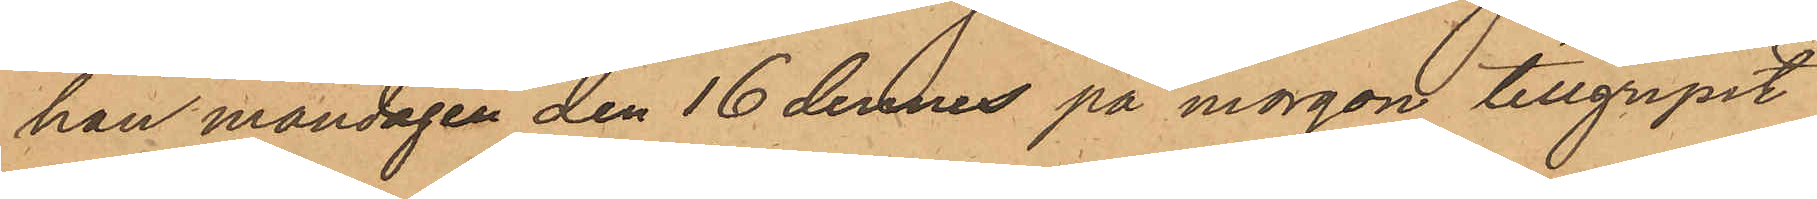han måndagen den 16 dennes på morgon tillgripit
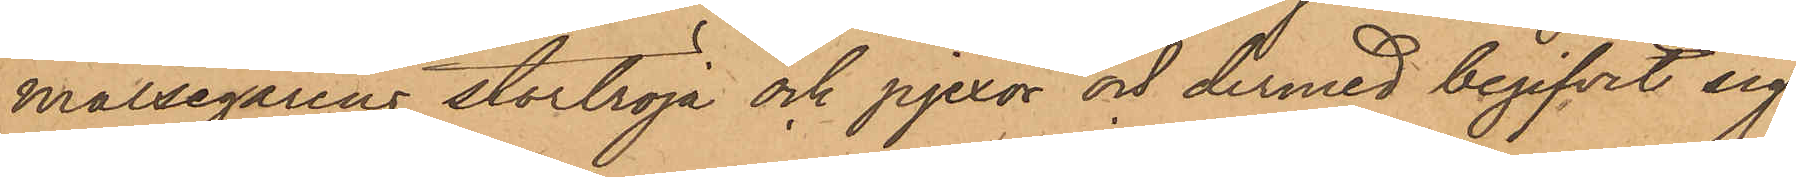målsegarens stortröja och pjexor och dermed begifvit sig
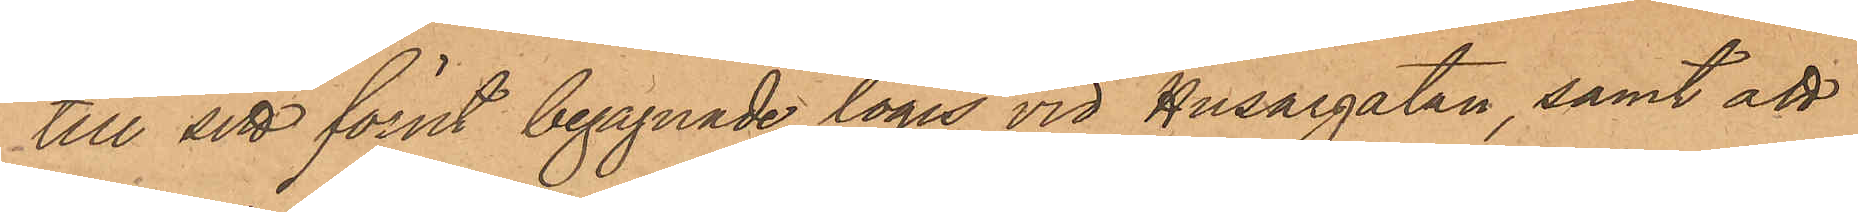till sitt förut begagnade logis vid Husargatan samt att
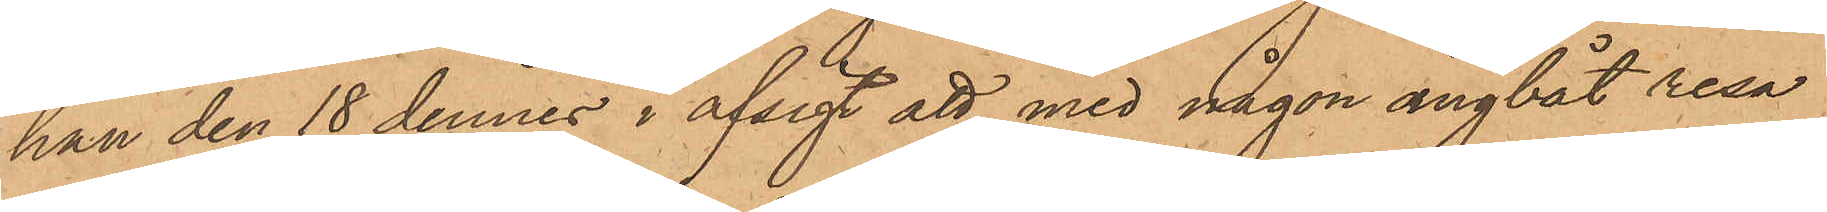han den 18 dennes i afsigt att med någon ångbåt resa
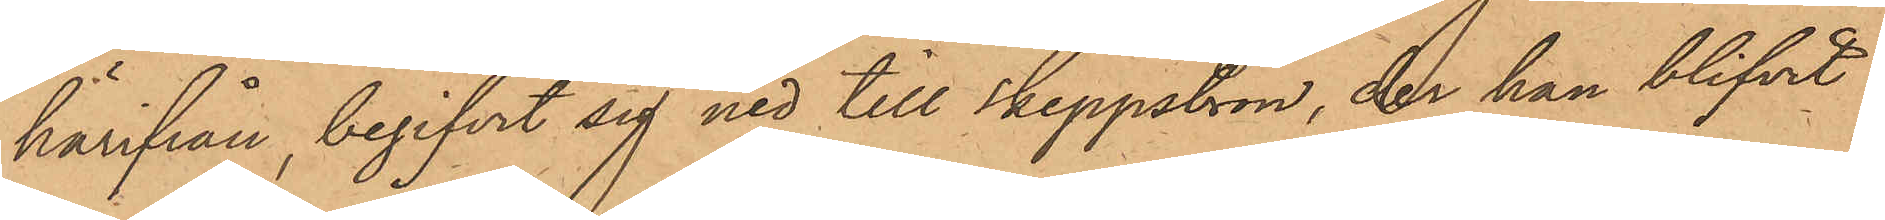härifrån, begifvit sig ned till Skeppsbron, der han blifvit
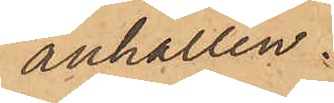anhållen.
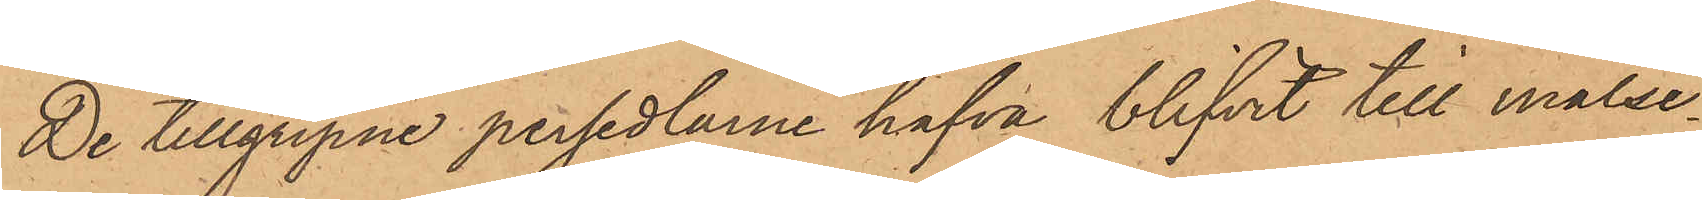De tillgripne persedlarne hafva blifvit till målse¬
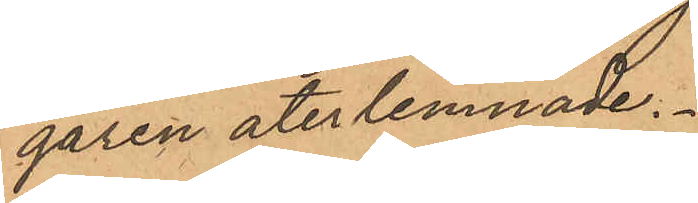garen återlemnade.
